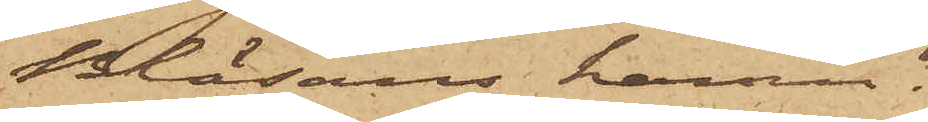Bläsans hamn.
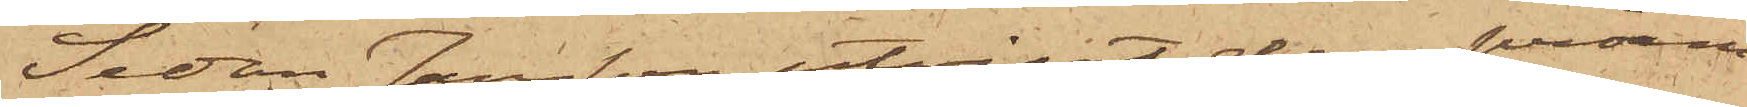Sedan Jansson utvisat den pråm,
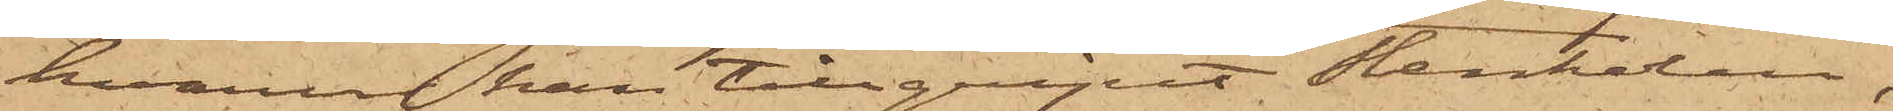hvarur han tillgripit stenkolen,
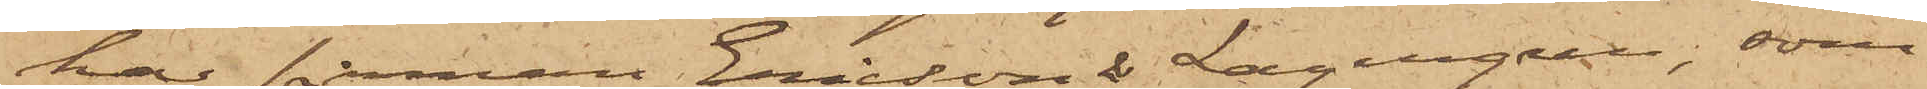har firman Ericson & Lagergren, som
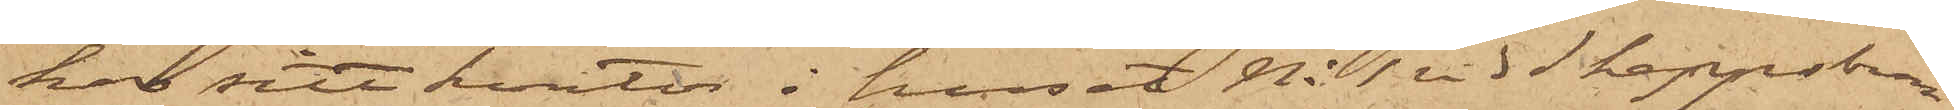har sitt kontor i huset No 1 vid Skeppsbron,
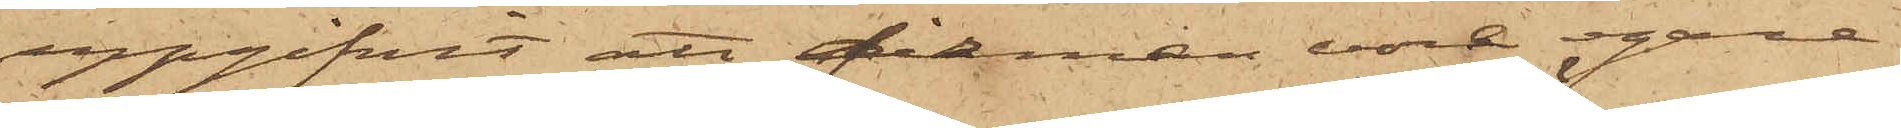uppgifvit att firman vore egare
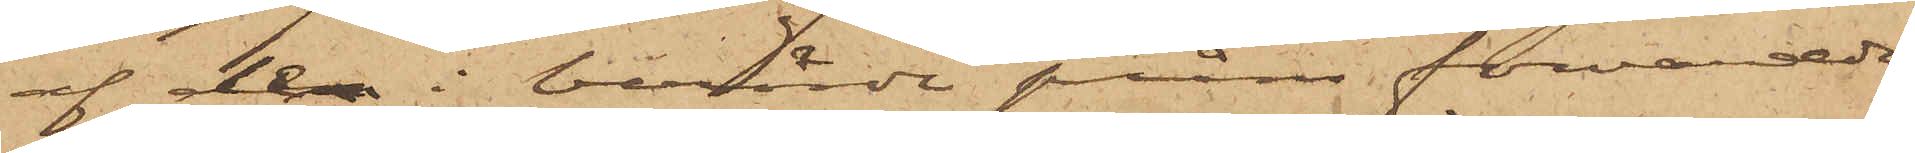af den i berörde pråm förvarade
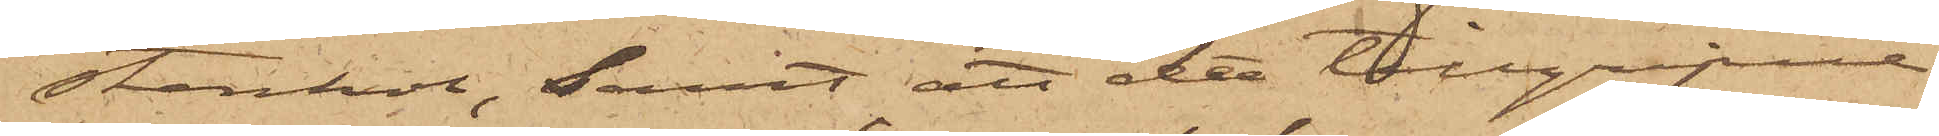stenkol, samt att det tillgripne
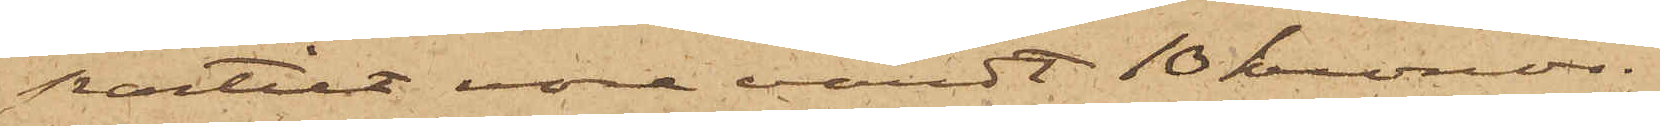partiet vore värdt 10 kronor.
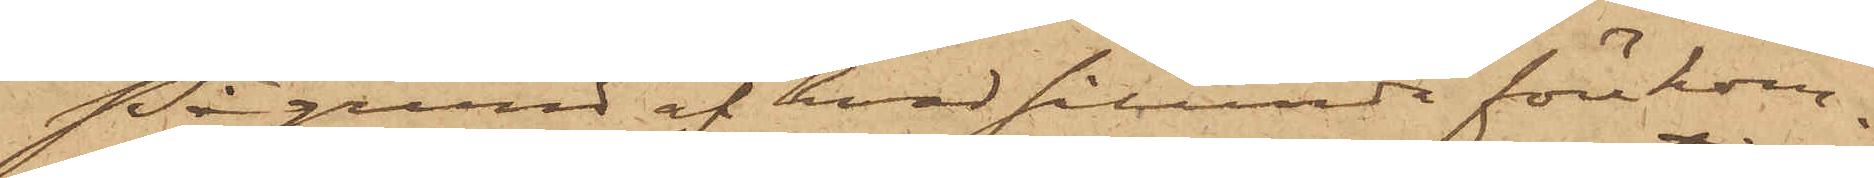På grund af hvad sålunda förekom¬
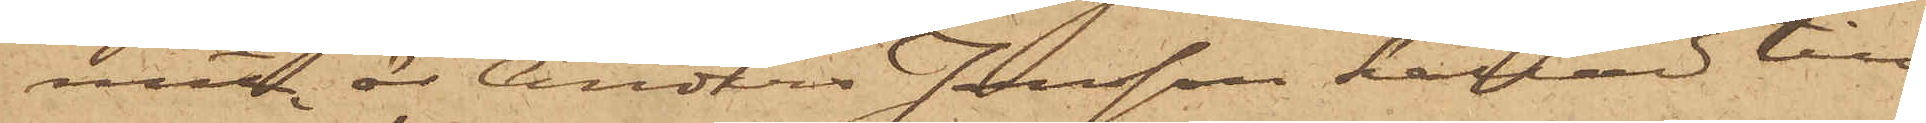mit, är Anders Jonsson kallad till
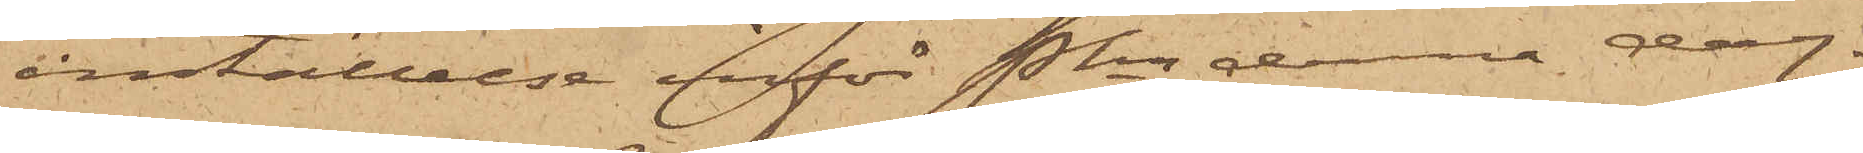inställelse inför Pkn denna dag.
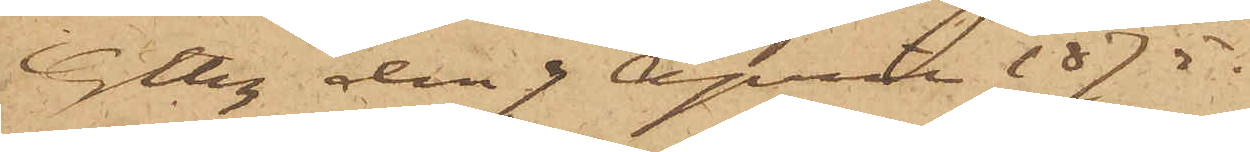Gtbg den 3 April 1875.
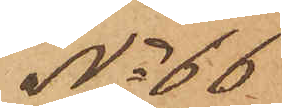No 66.
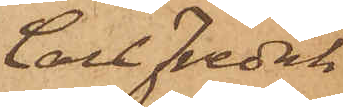Carl Fredrik
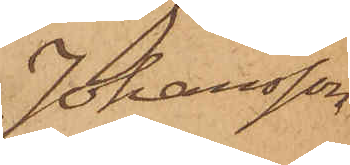Johansson
